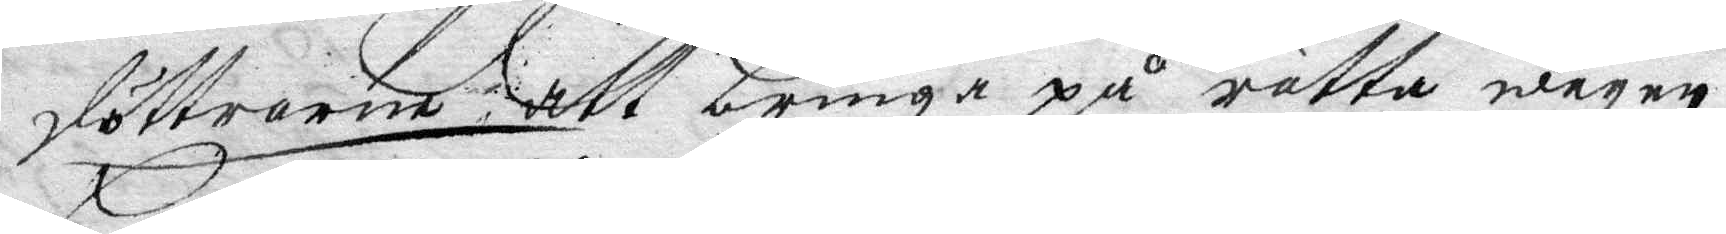döttrarne att bringa på rätta wägen.
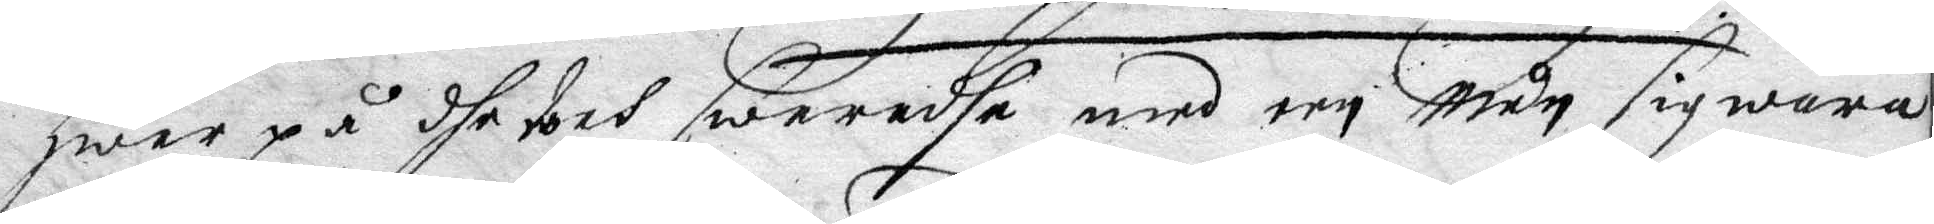hwar på dhe doch swarade med een mun sig wara
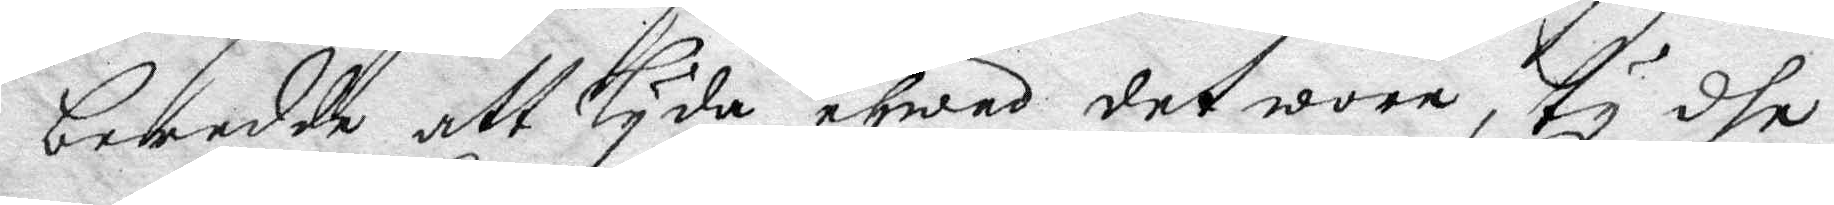beredde att lyda ehwad det wore, ty dhe
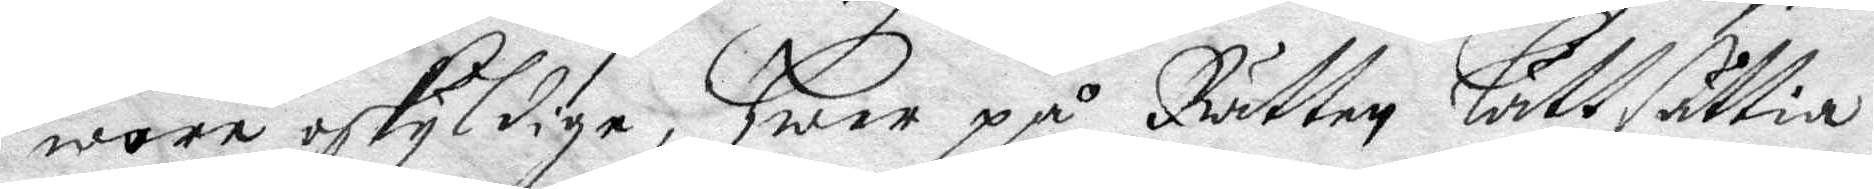wore oskyldige, hwar på Rätten lätt sättia
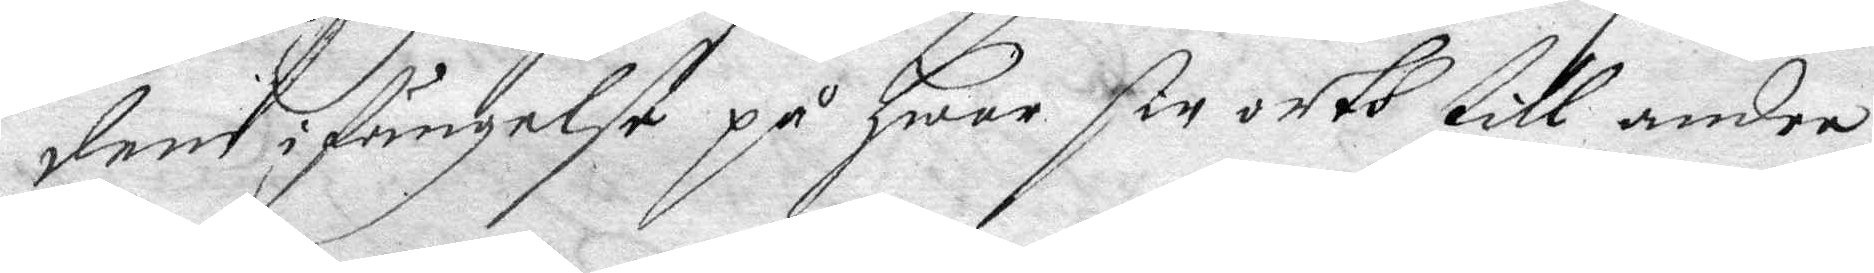dem i fängelse på hwar sin orth till andra
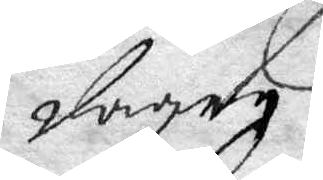dagen.
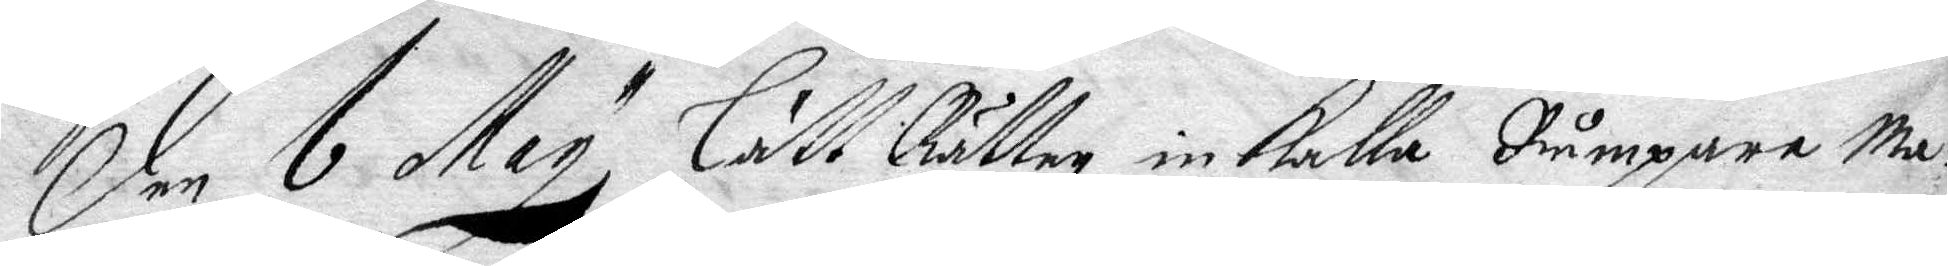Den 6 May lätt Rätten inkalla Rumpare Ma¬
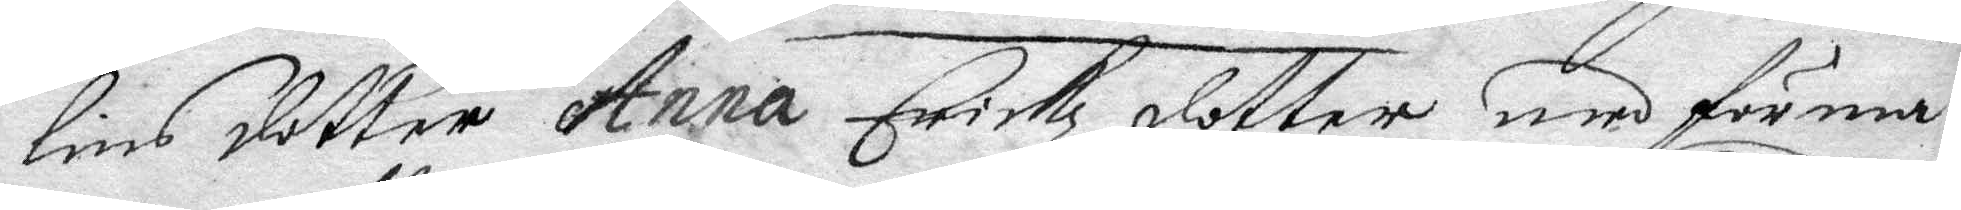lins dotter Anna Erickz dotter med förma¬
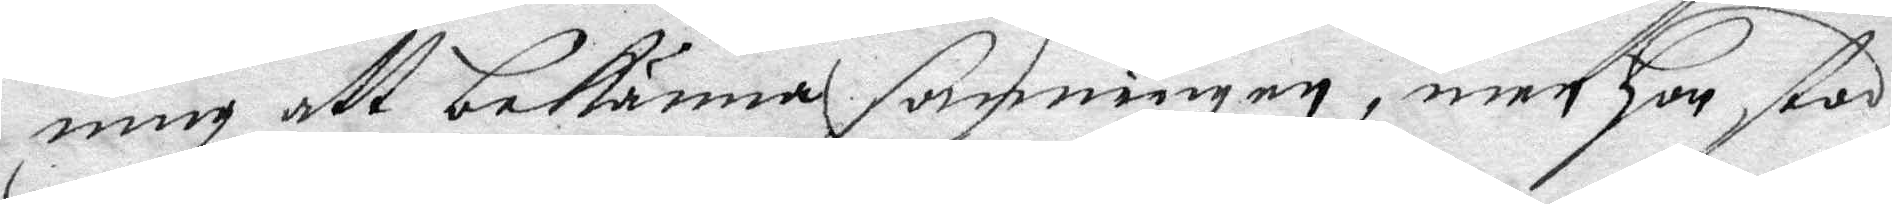ning att bekänna sanningen, men hon stod
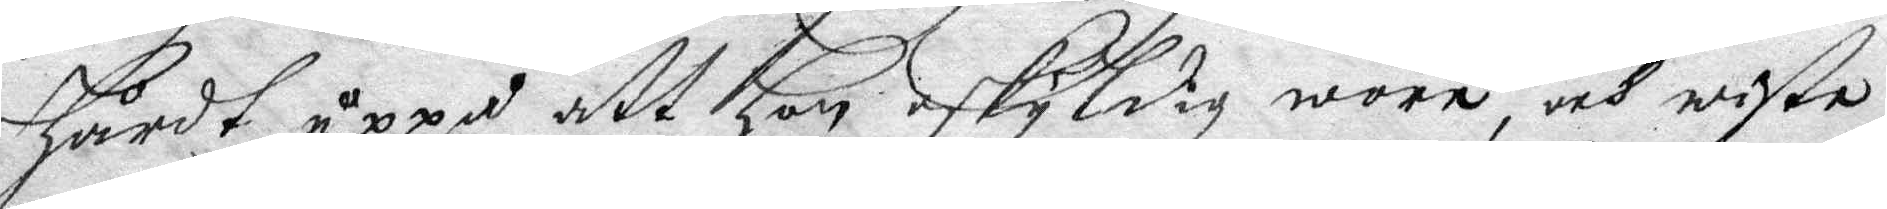hårdt uppå att hon oskyldig wore och wiste
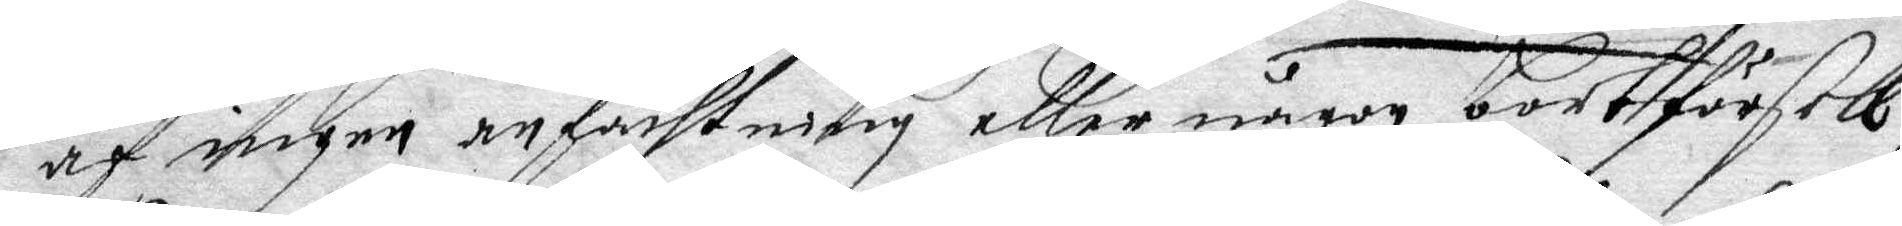af ingen anfächtning eller någon bortförsell
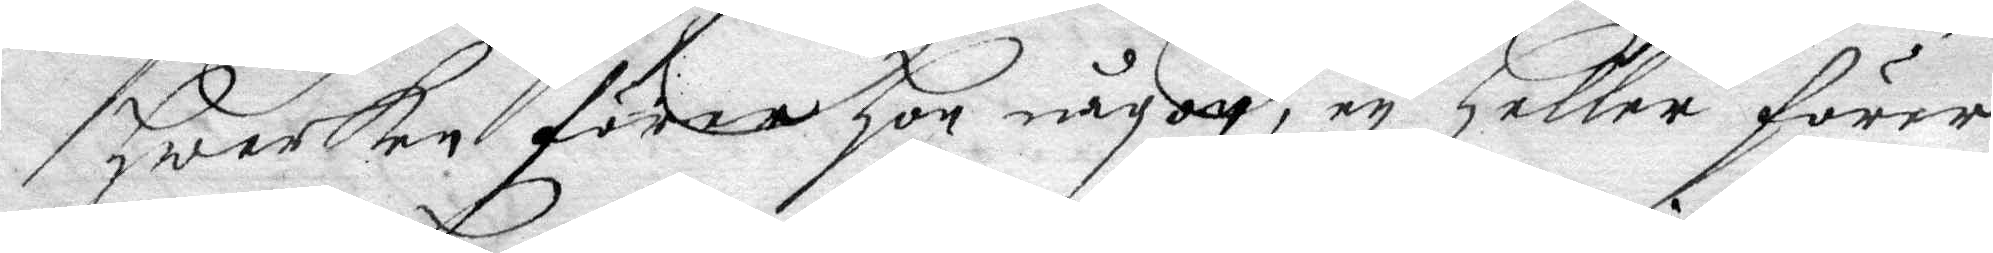hwarken förer hon någon, ey heller förer
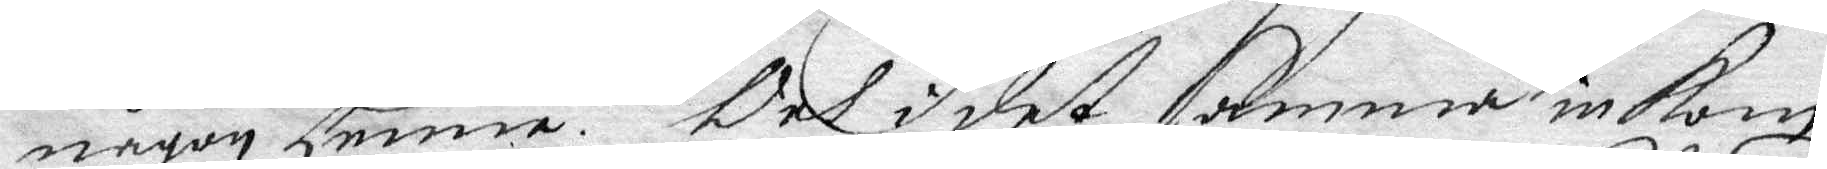någon henne. Och i det samma inkom
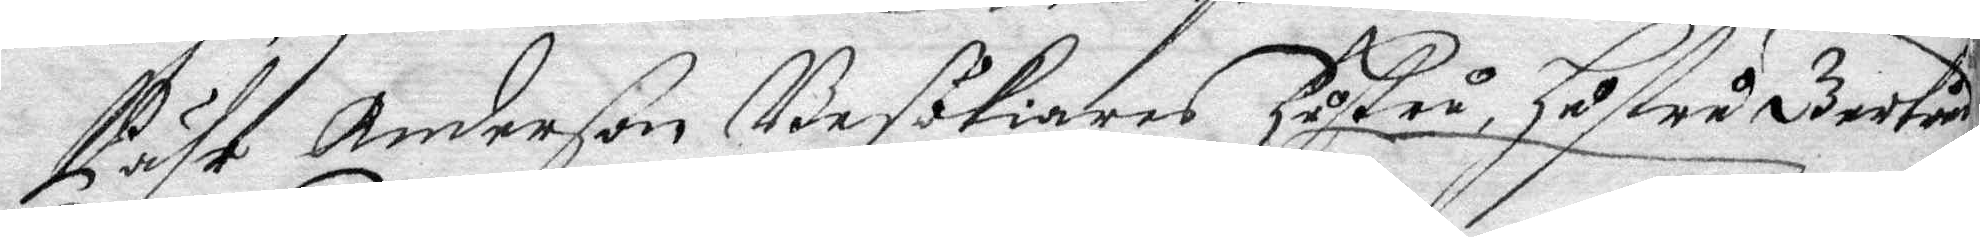Pähr Anderßon Besökiares hustru, hustru Gertrud
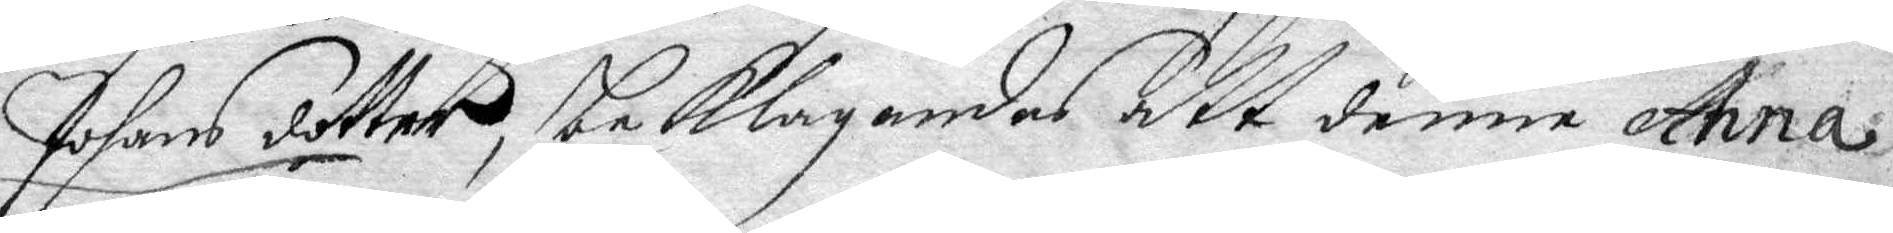Johans dotter, beklagandes att denne Anna
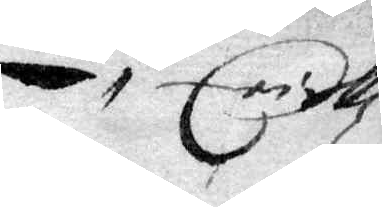Erickz¬
